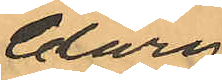Clary
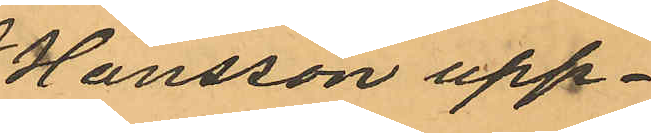Hansson upp¬
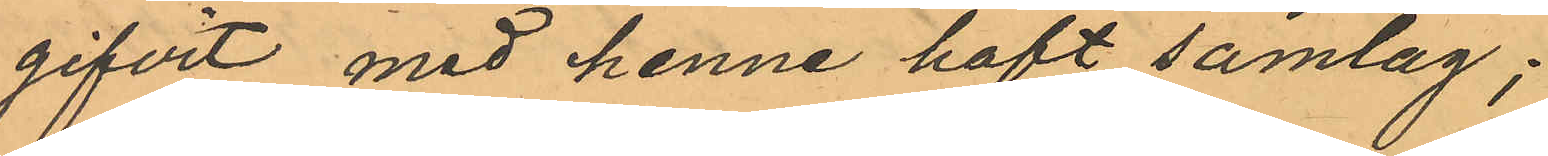gifvit med henne haft samlag;
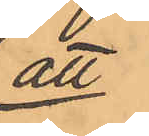att
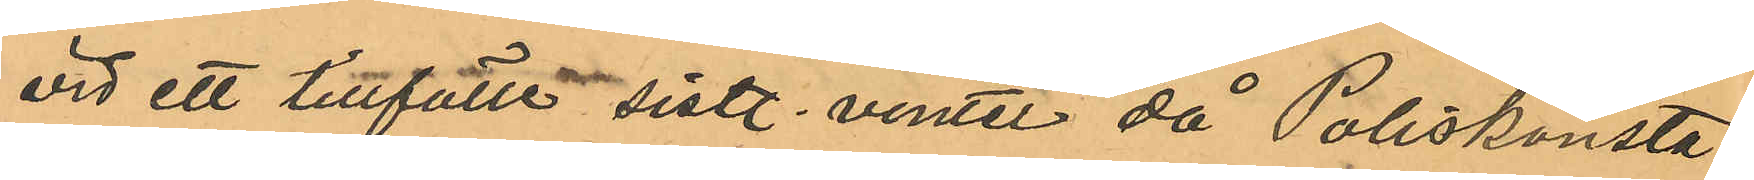vid ett tillfälle sistl. vinter då Poliskonsta¬
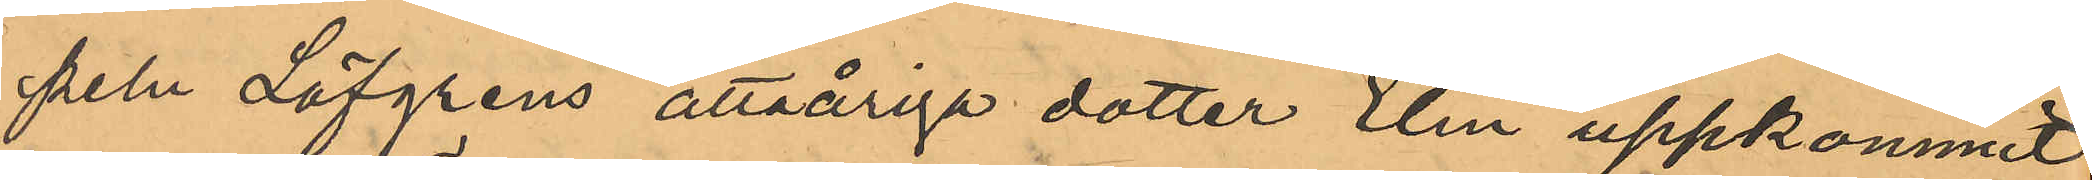peln Löfgrens åttaåriga dotter Elin uppkommit
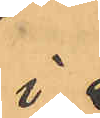i
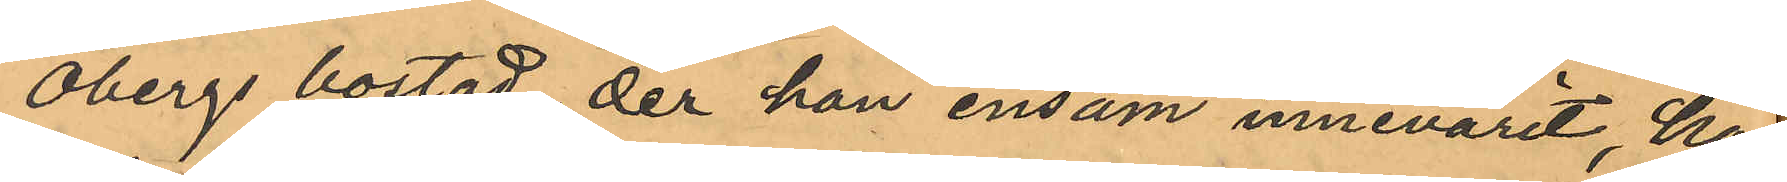Öbergs bostad, der han ensam innevarit, han
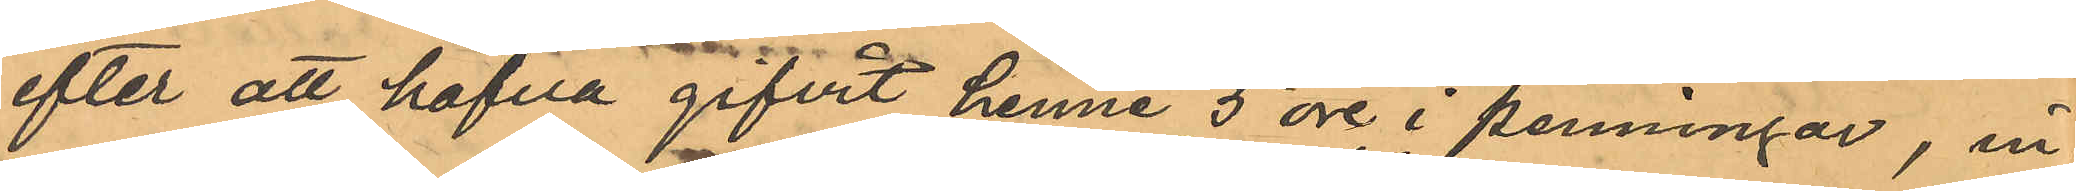efter att hafva gifvit henne 5 öre i penningar, in¬
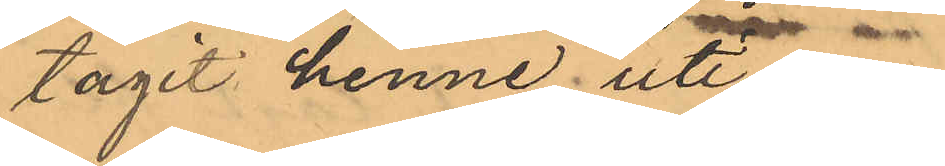tagit henne uti en
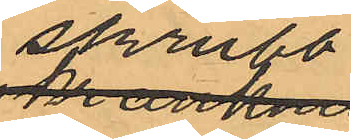skrubb
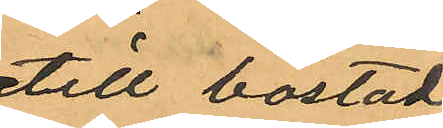till bostaden,
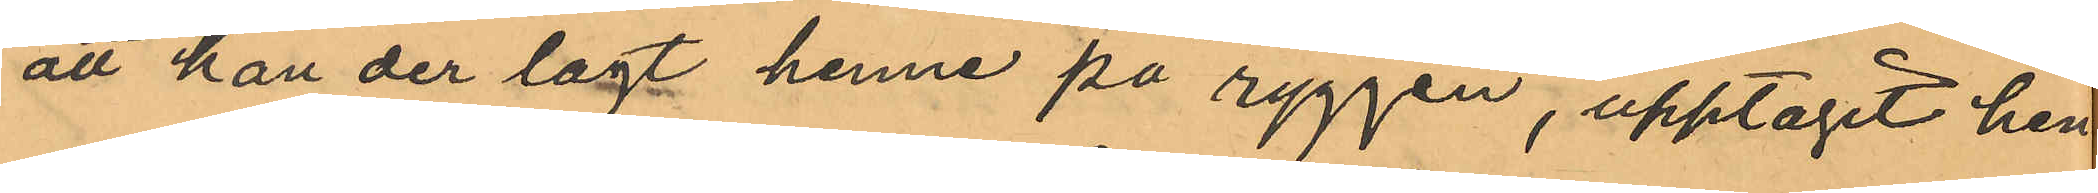att han der lagt henne på ryggen, upptagit hen¬
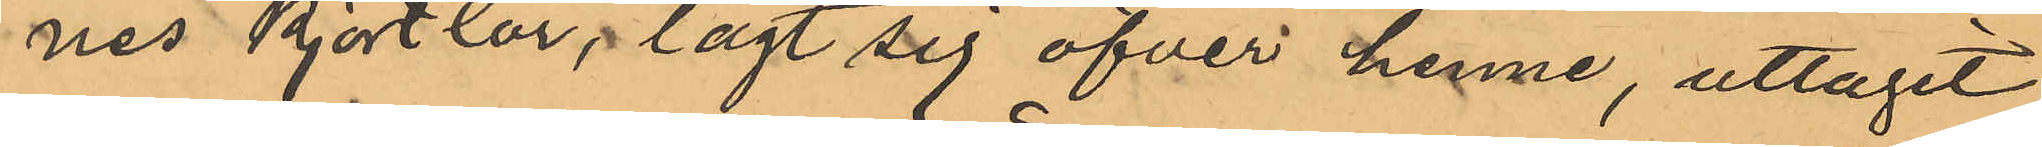nes kjortlar, lagt sig öfver henne, uttagit
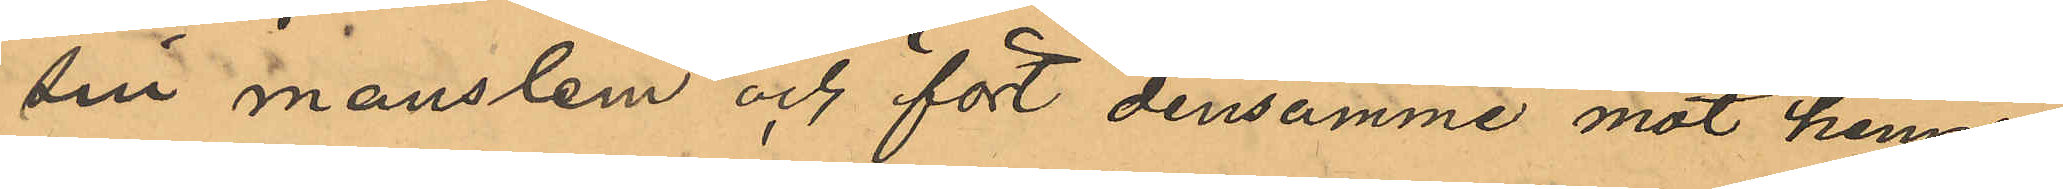sin manstem och fört densamme mot hennes
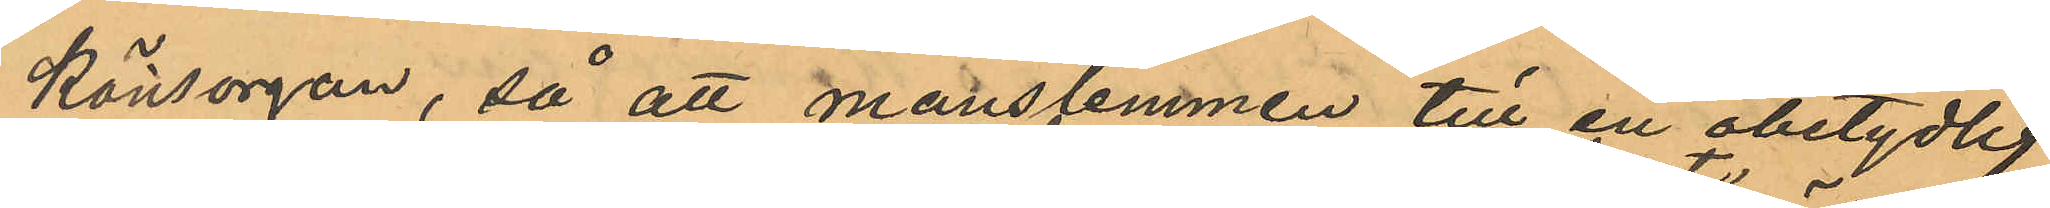könsorgan, så att manslemmen till en obetydlig
